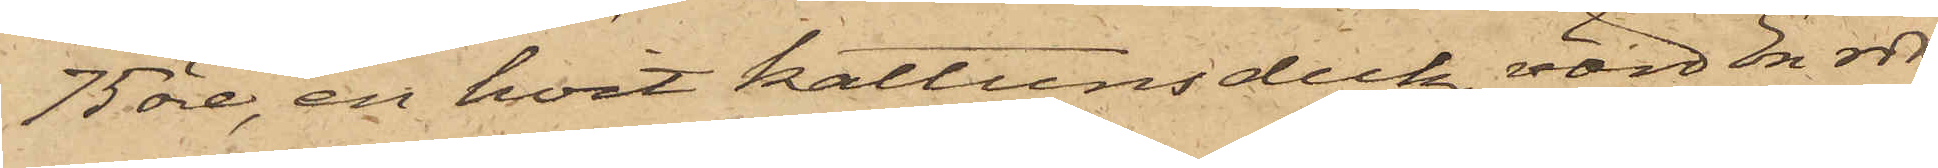75 öre, en hvit kattunsduk, värd En rdr,
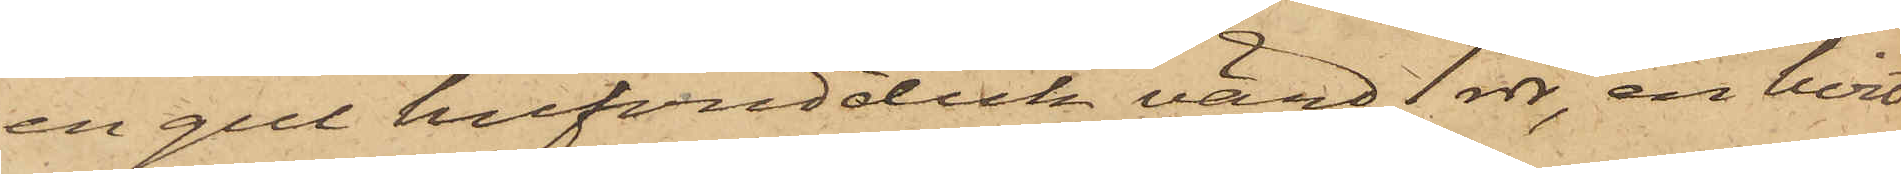en gul hufvudduk, värd 1 rdr, en hvit
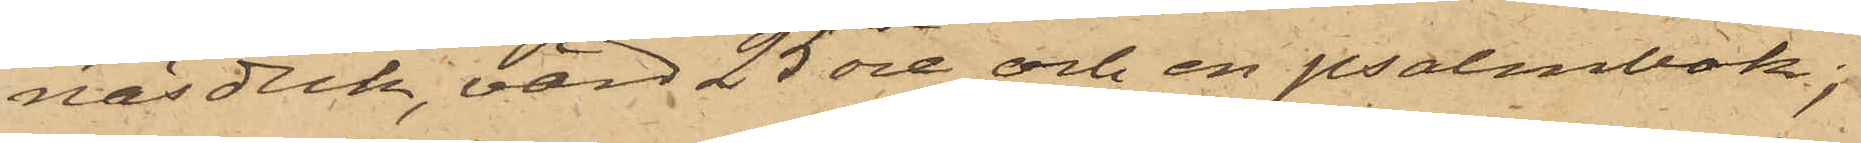näsduk, värd 25 öre och en psalmbok;
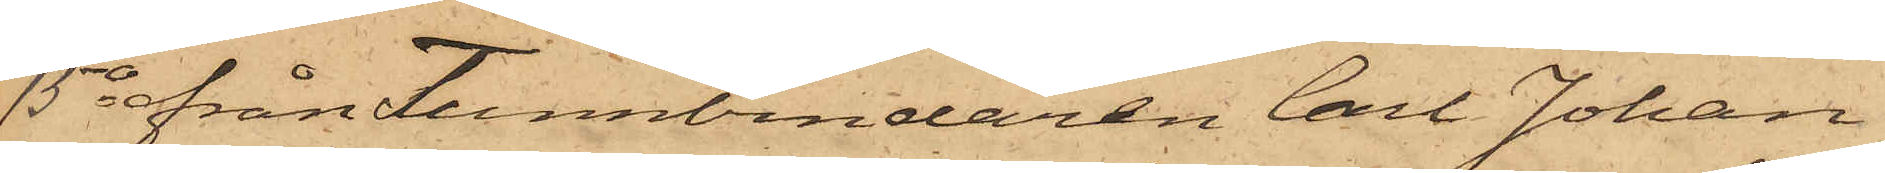15o från Tunnbindaren Carl Johan
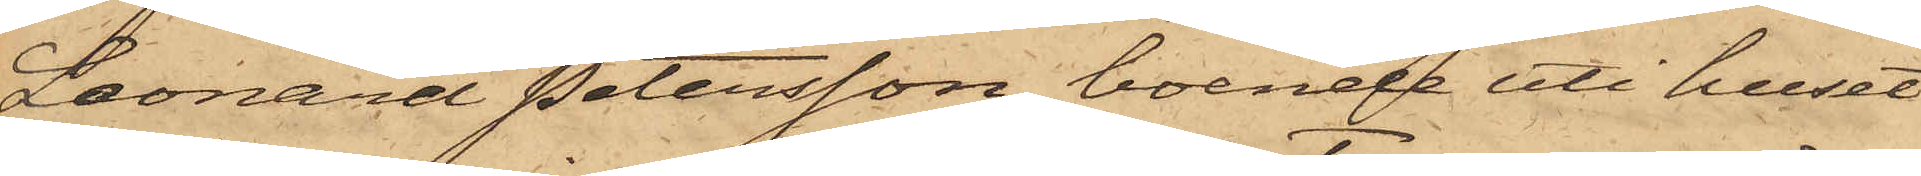Leonard Petersson, boende uti huset
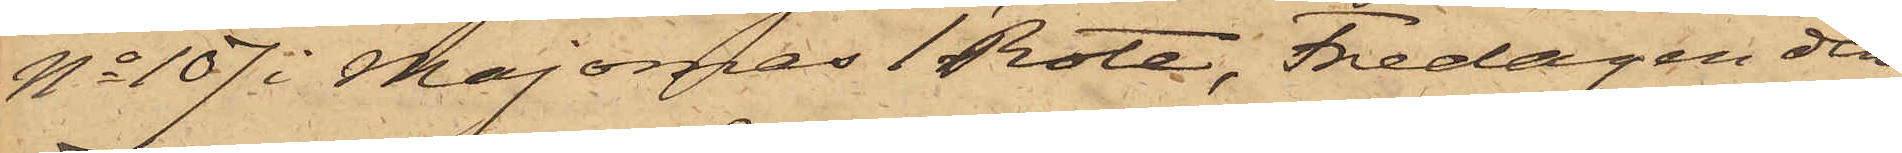No 107 i Majornas 1 Rote, Fredagen den
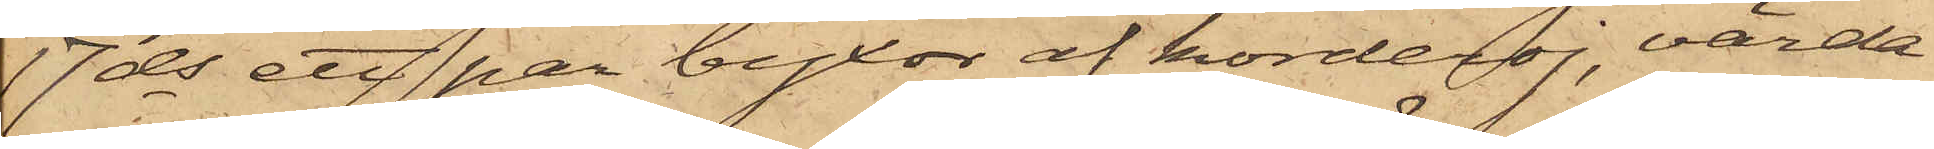17ds ett par byxor af korderoj, värda
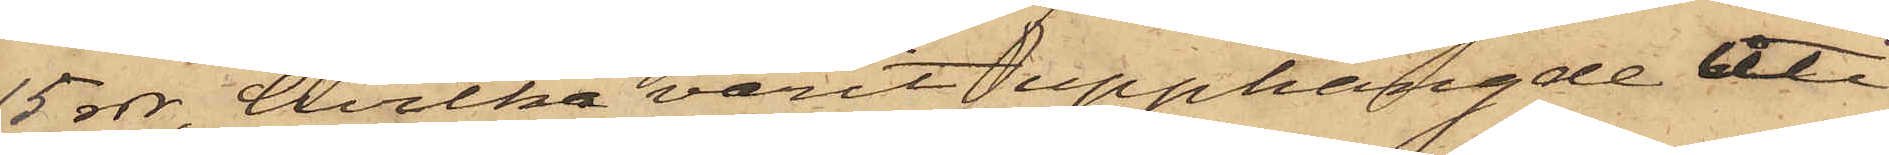15 rdr, hvilka varit upphängde uti
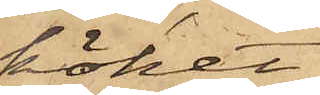köket
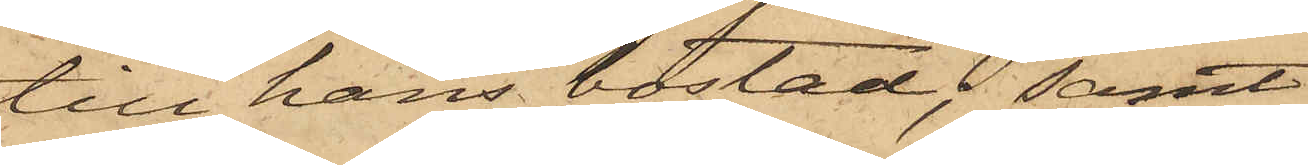till hans bostad; samt
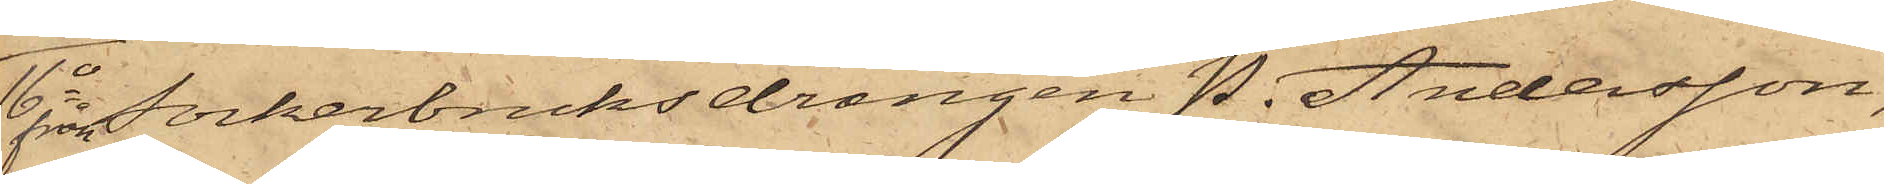16o från Sockerbruksdrängen P. Andersson,
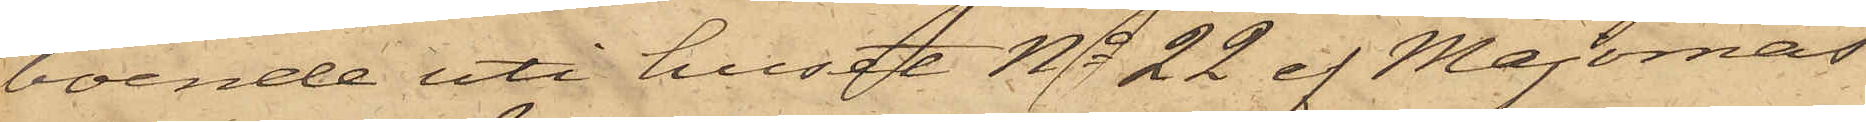boende uti huset No 22 af Majornas
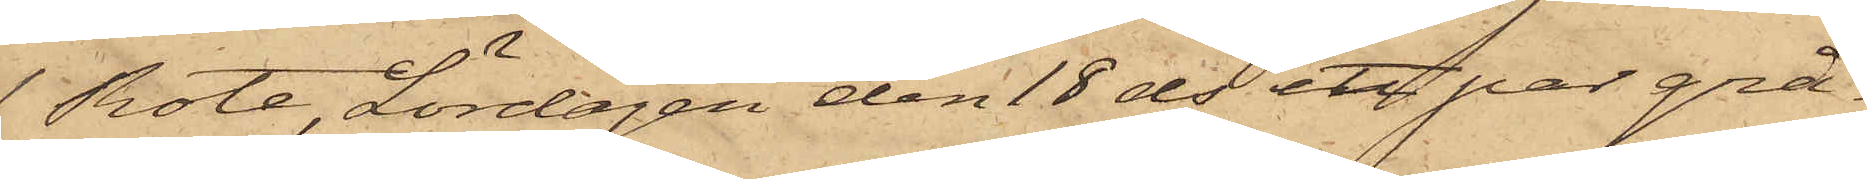1 Rote, Lördagen den 18 ds ett par grå¬
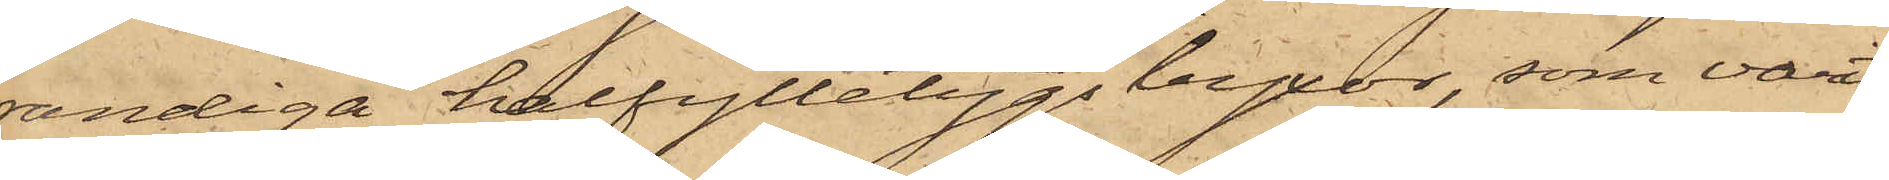randiga halfylletygsbyxor, som varit
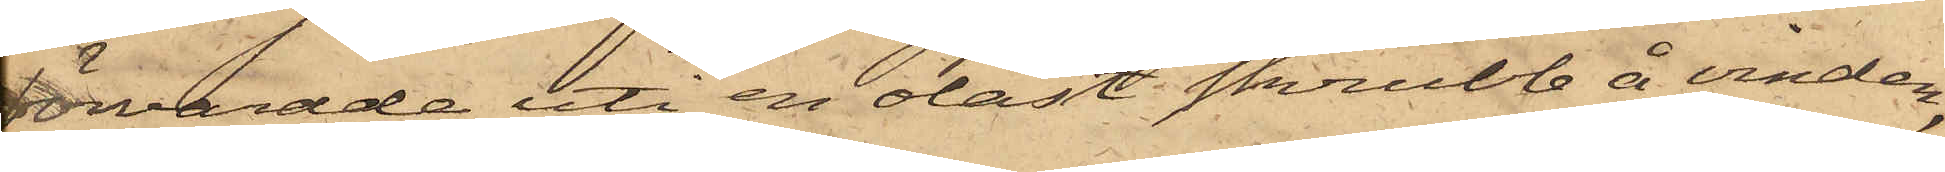förvarade uti en olåst skrubb å vinden,
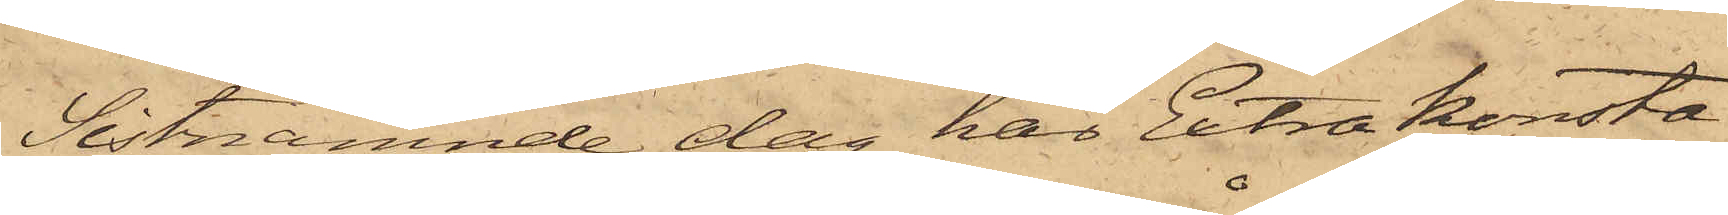Sistnämnde dag har Extra konsta¬
